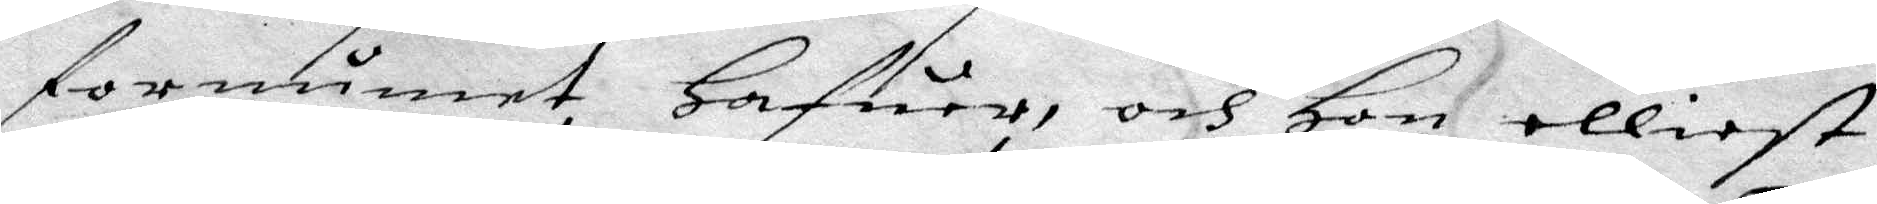fornumet Hafuer, och Hon elliest
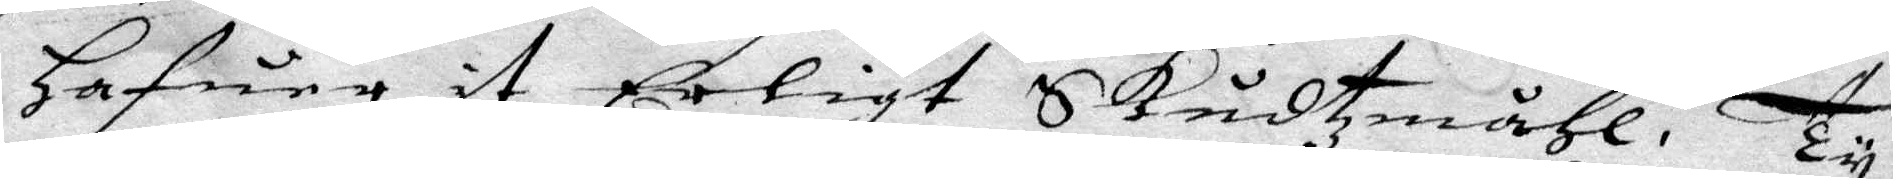Hafuer it Erligt Skudtzmåhl, Ty
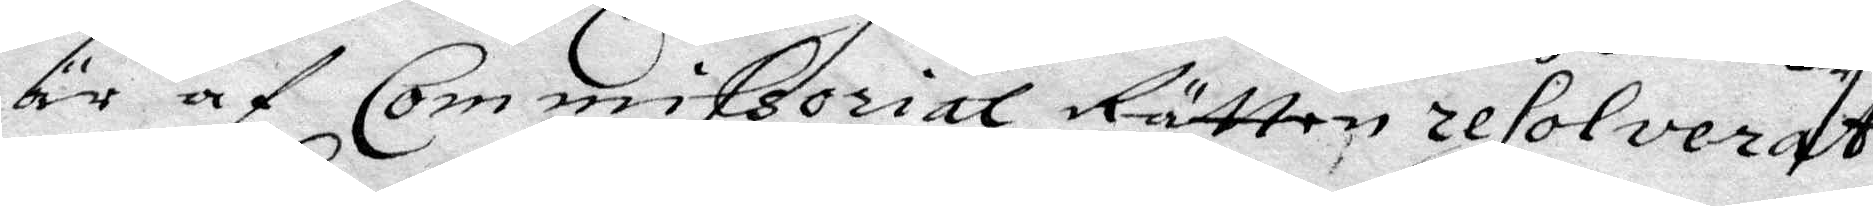är af Commissorial Rätten resolverat
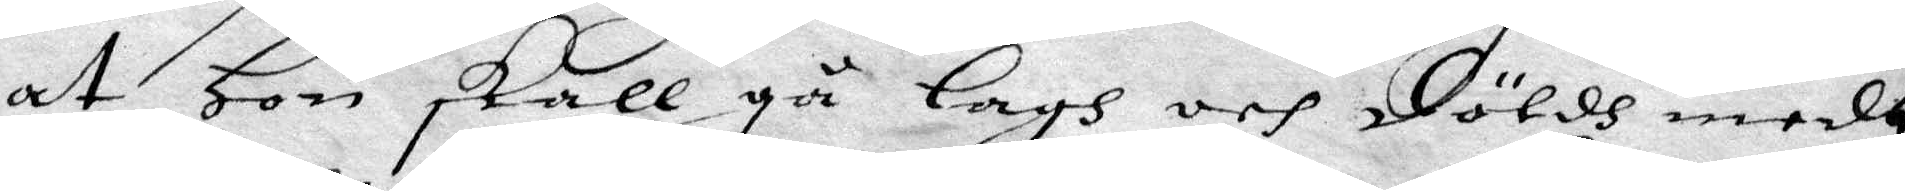at Hon skall gå Lagh och Döldh medh
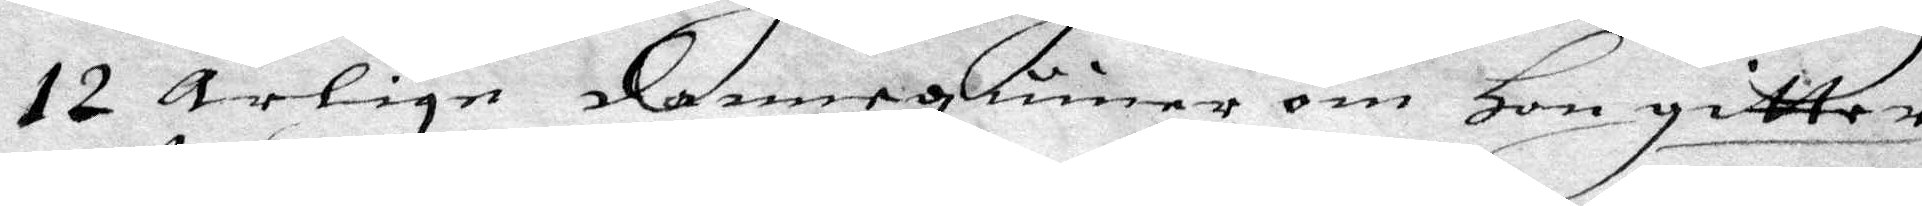12 ärlige dannequiner om Hon gitter
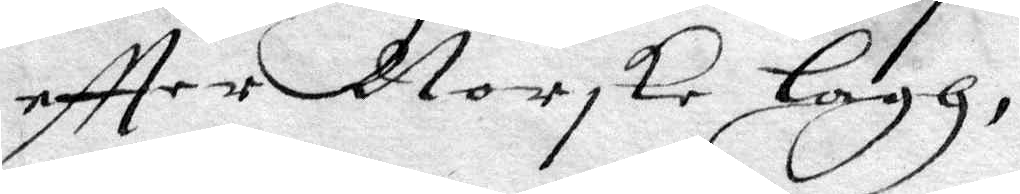eftter Norske lagh,
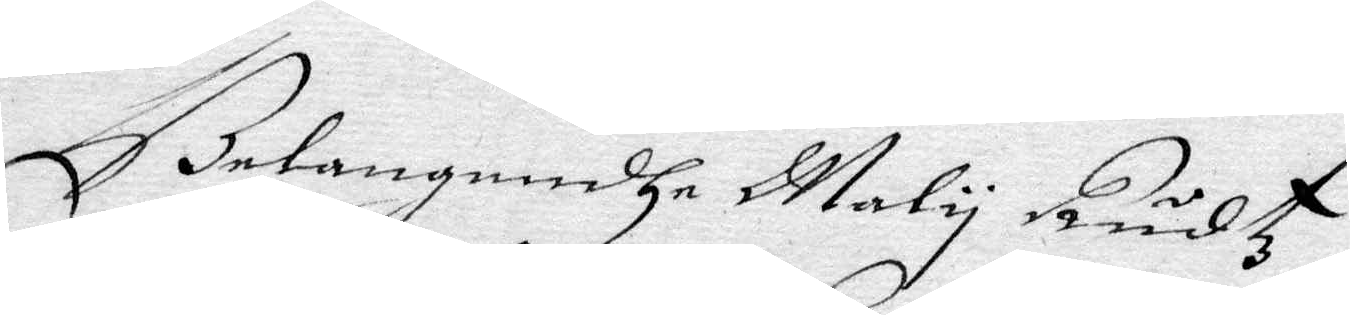Belanandhe Maly Rudtz
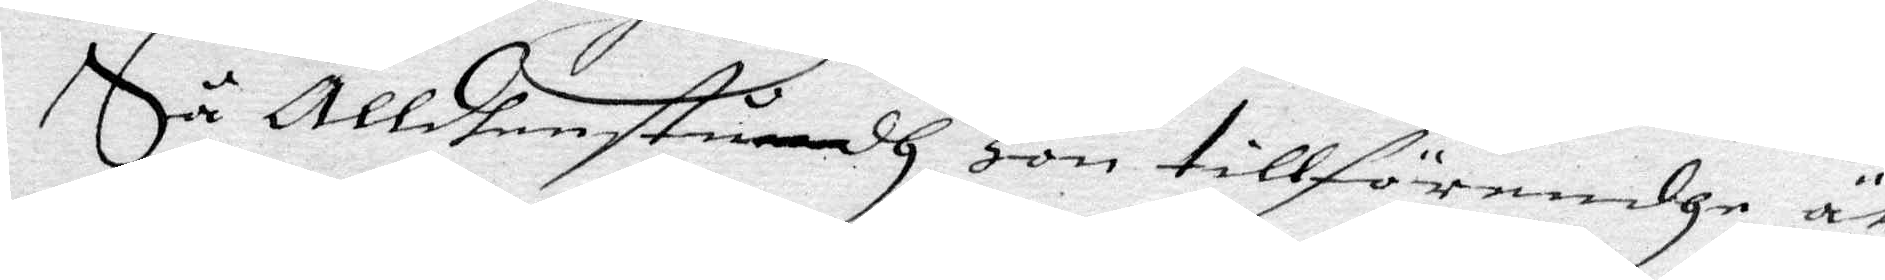Så Alldhenstundh Hon tillförendhe är
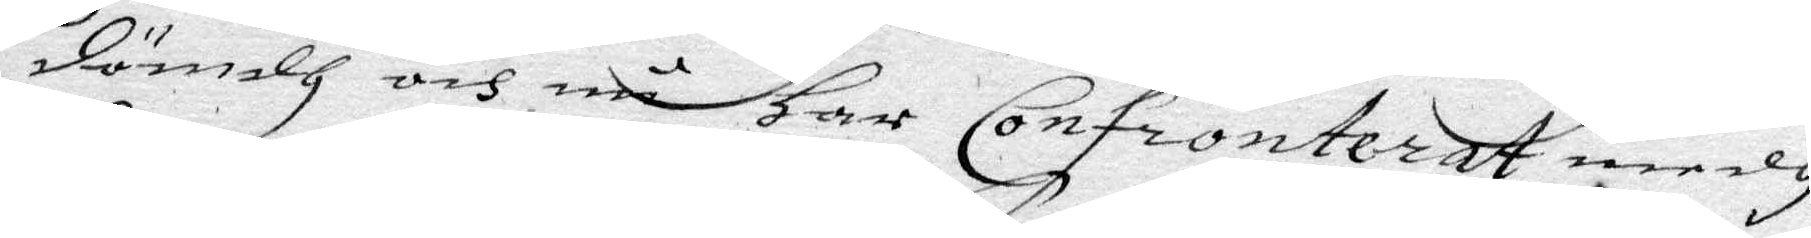dömdh och nu Har Confronterat medh
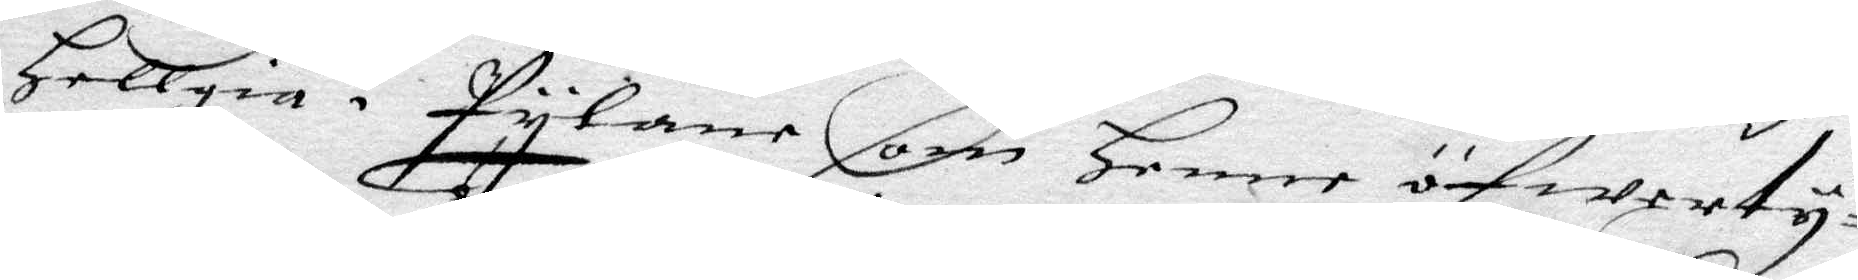Hellgia i Pylane som Henne öfwerty¬
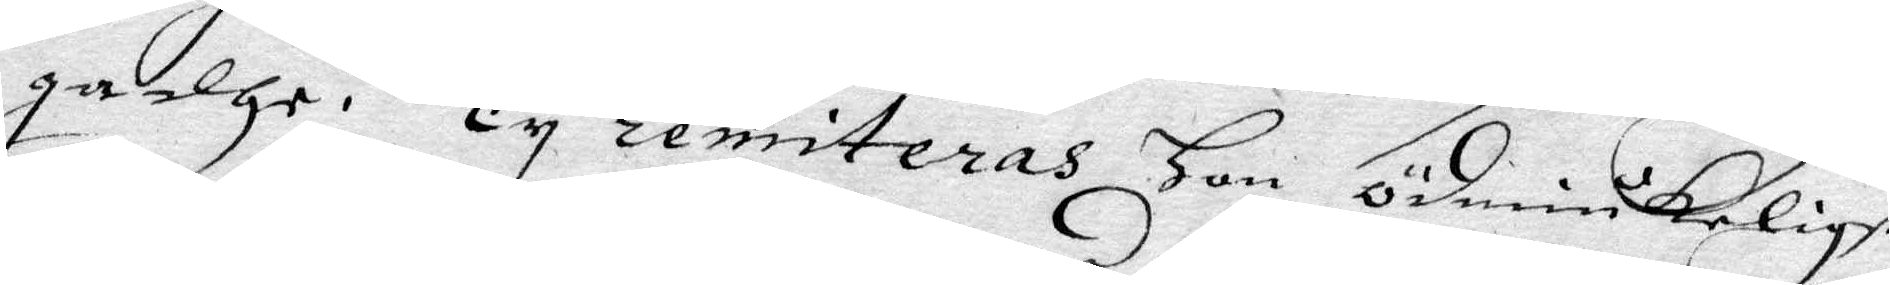gadhe. Ty remiteras Hon ödmiukeligst
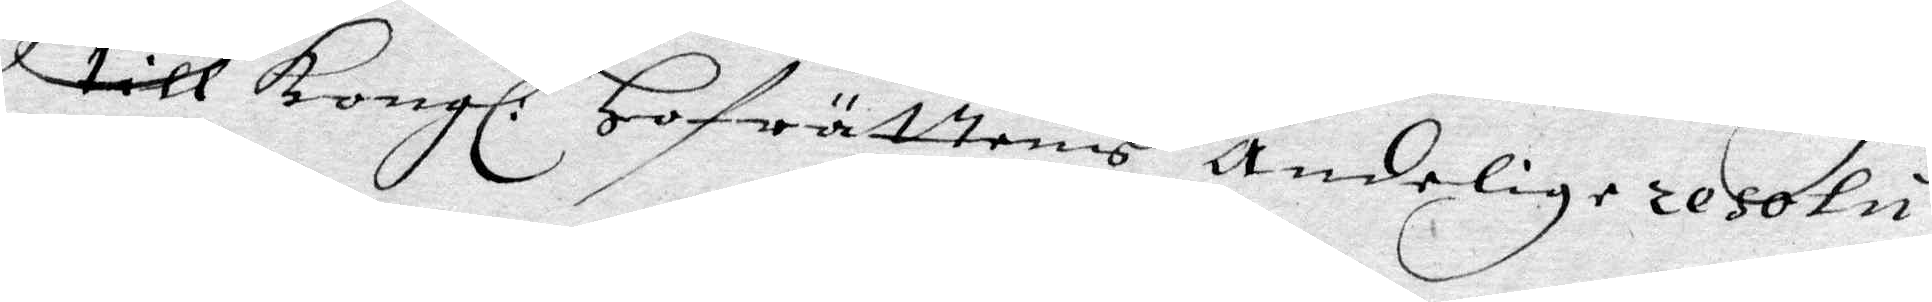till Kongl: Hofrättens Ändelige resolu¬
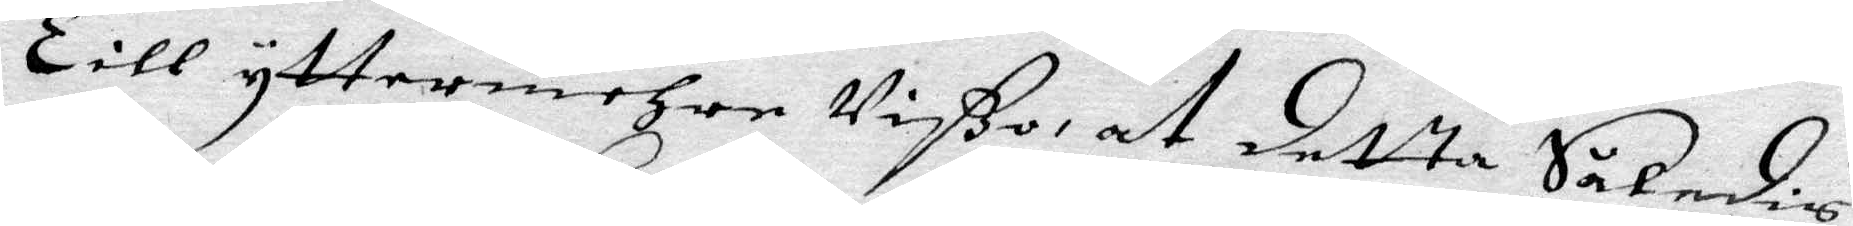Till yttermehre Vißo at detta Såledis
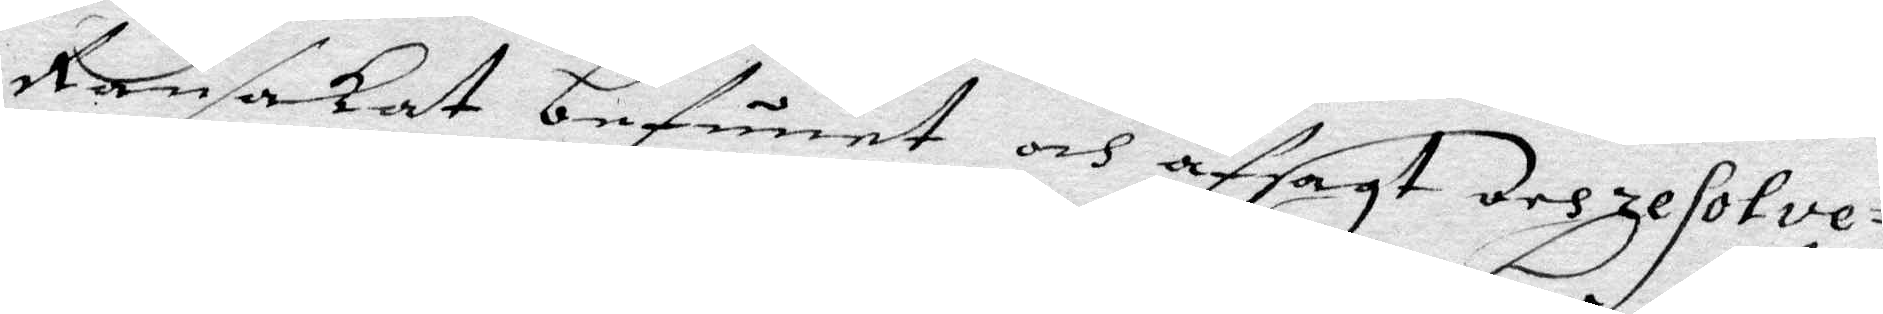Ransakat befunet och afsagt och resolv¬
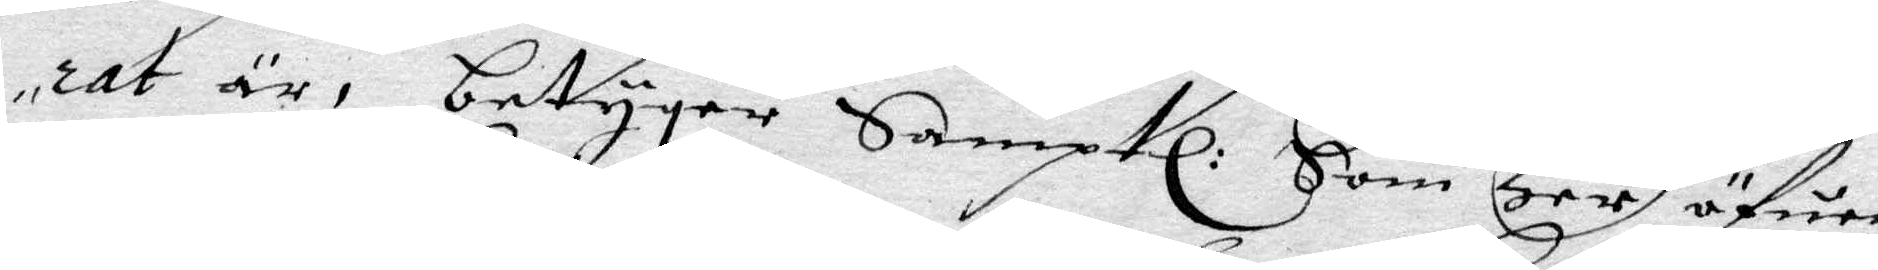rat är, betygar Samptl: som Her öfuer
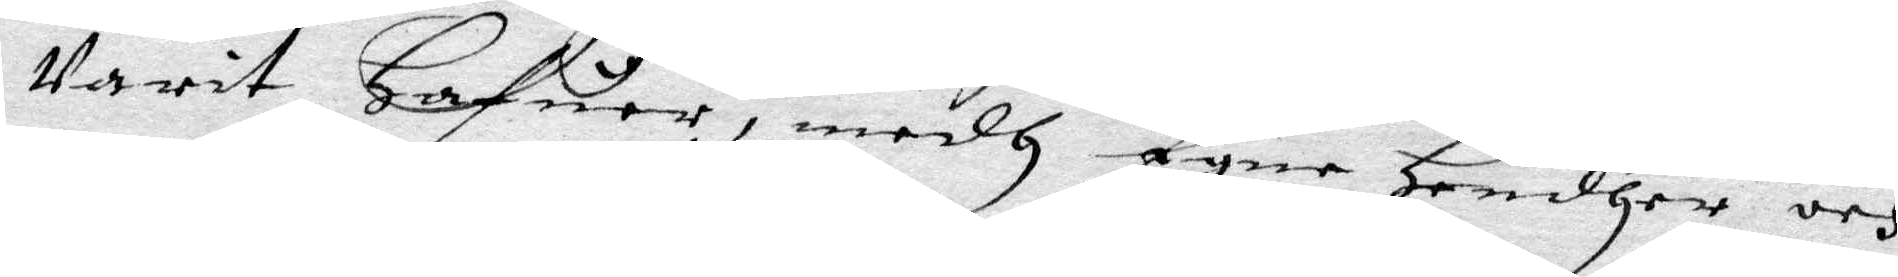varit hafuer, medh Egne Handher och
